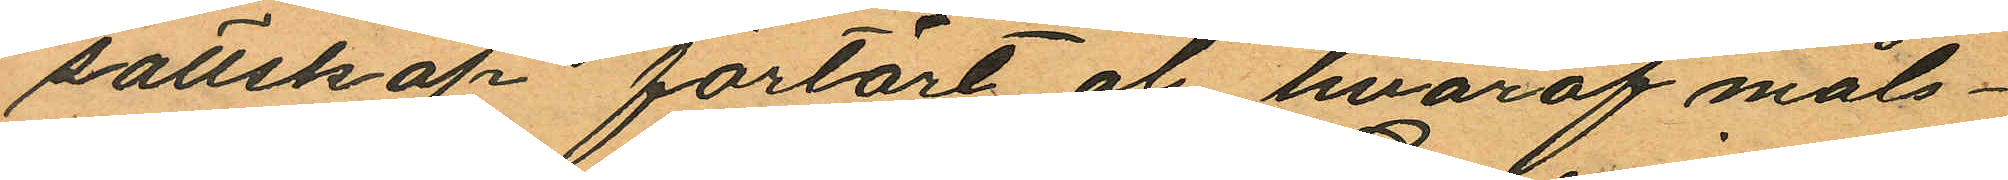sällskap förtärt öl, hvaraf måls¬
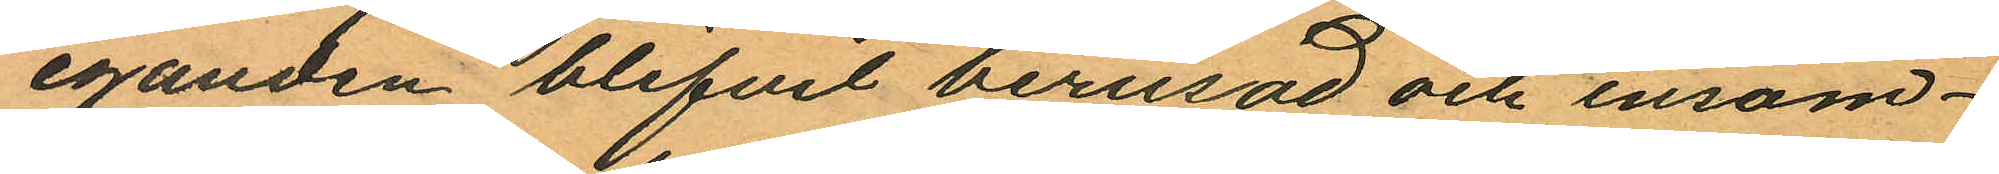eganden blifvit berusad och insom¬
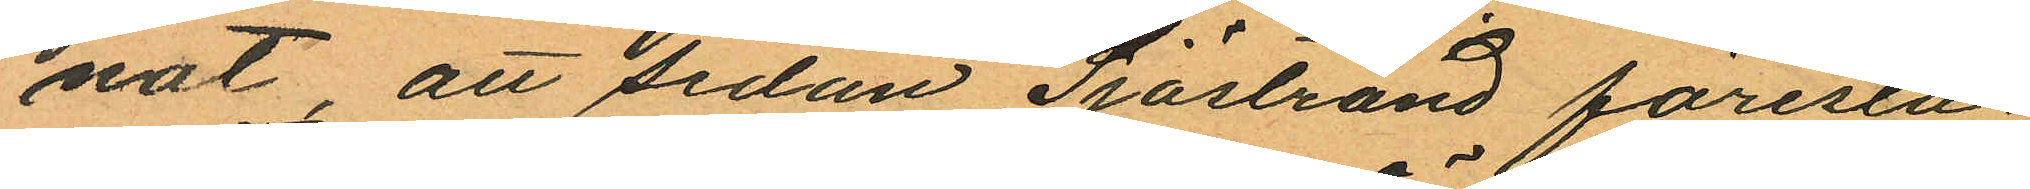nat, att sedan Sjöstrand föresla
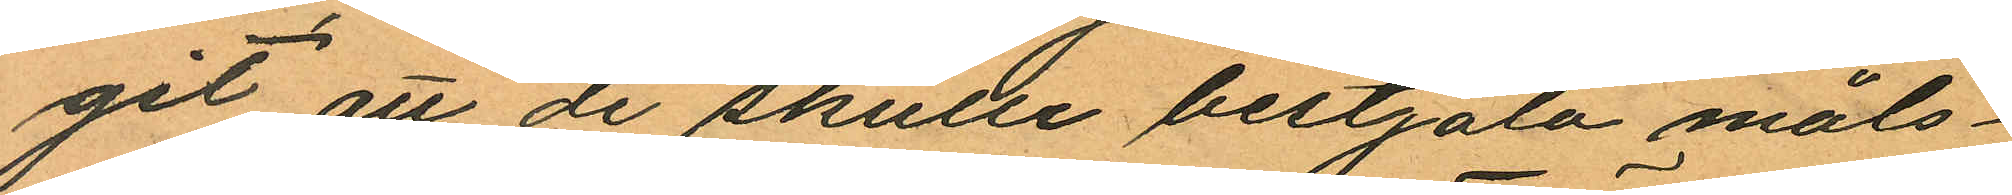git att de skulle bestjäla måls¬
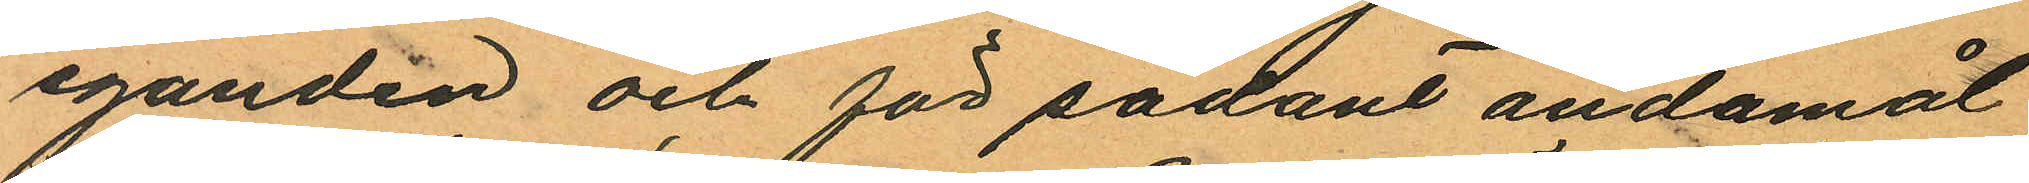eganden och för sådant ändamål
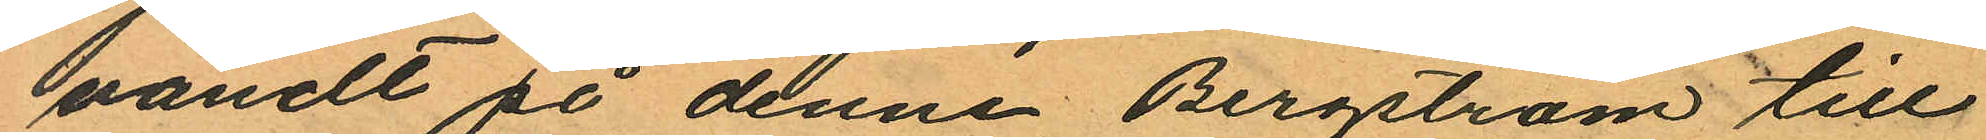vändt på denne Bergström till
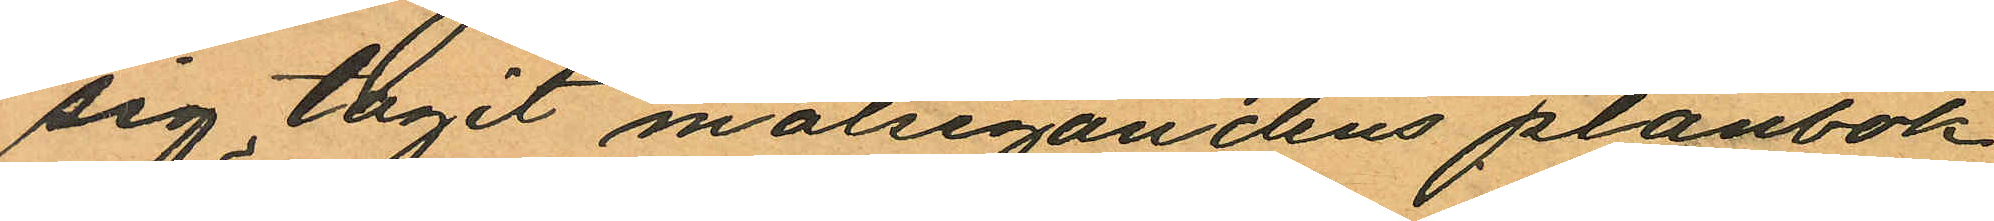sig tagit målsegandens plånbok
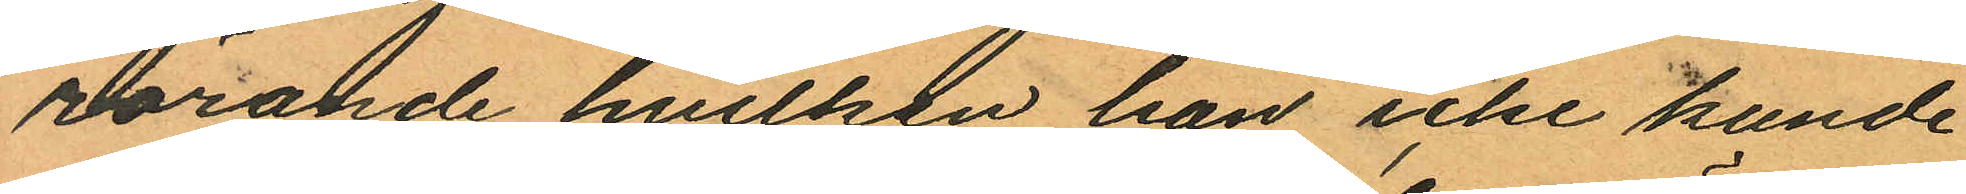rörande hvilken han icke kunde
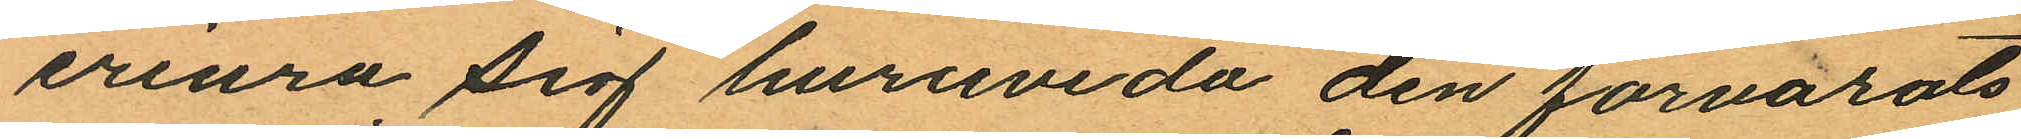erinra sig huruvida den förvarats
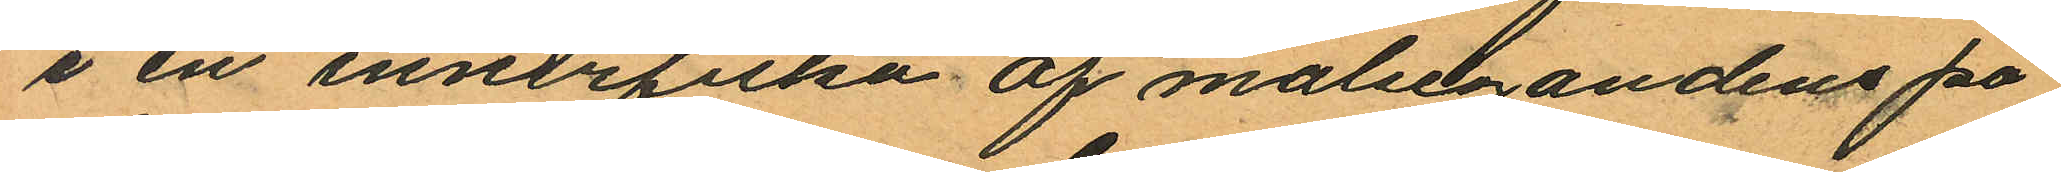i en innerficka af målsegandens på
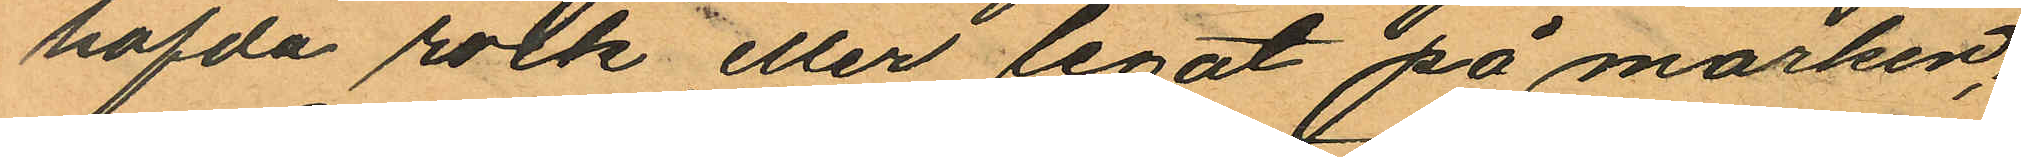hafda rock eller legat på marken;
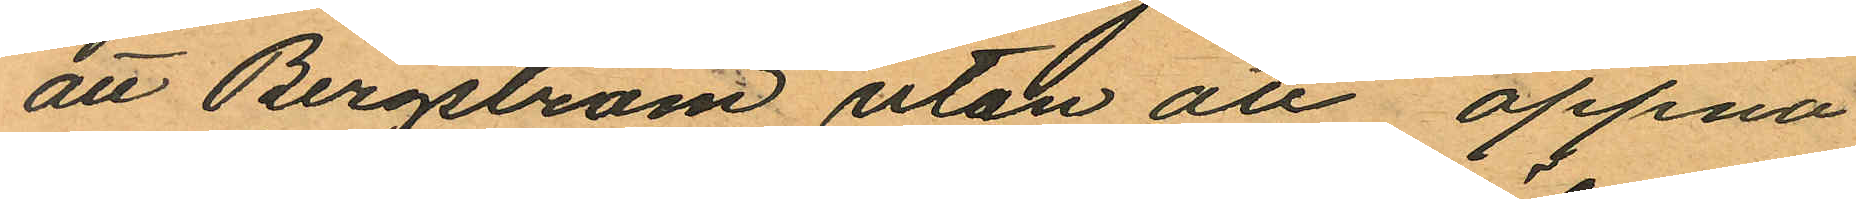att Bergström utan att öppna
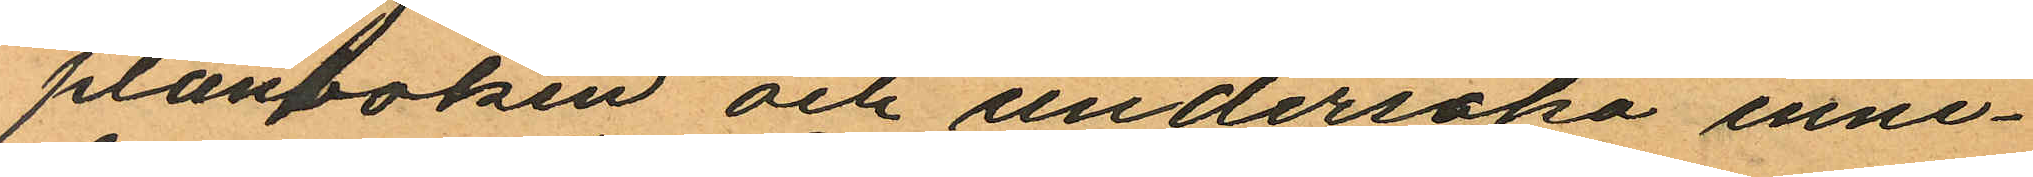plånboken och undersöka inne¬
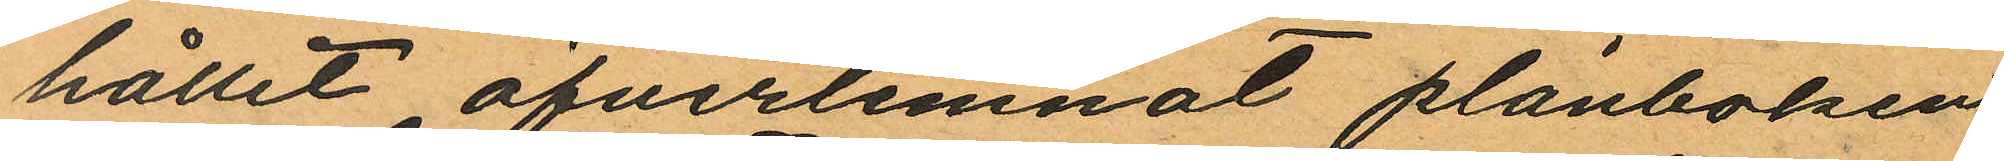hållit öfverlemnat plånboken
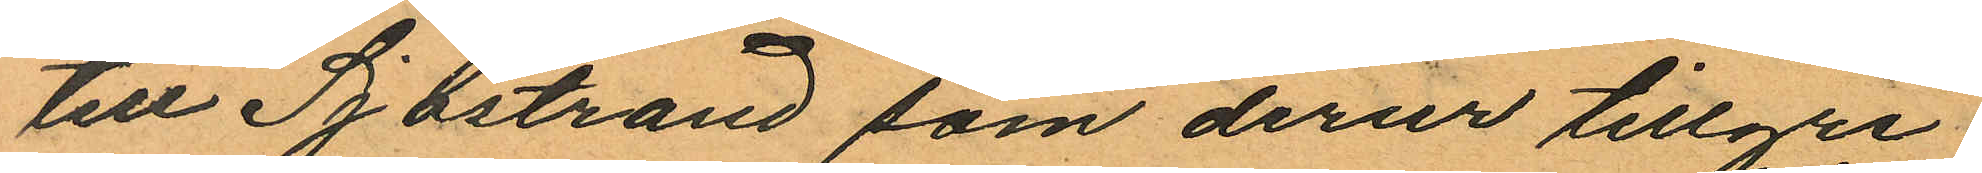till Sjöstrand som derur tillgri¬
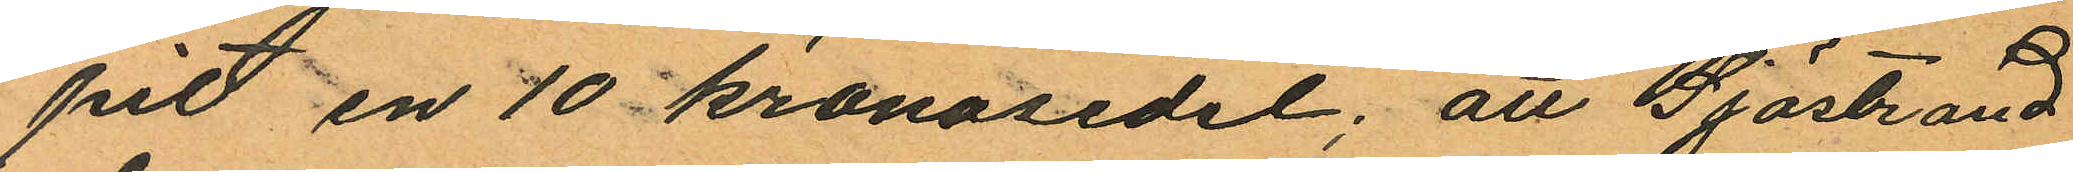pit en 10 kronosedel; att Sjöstrand
